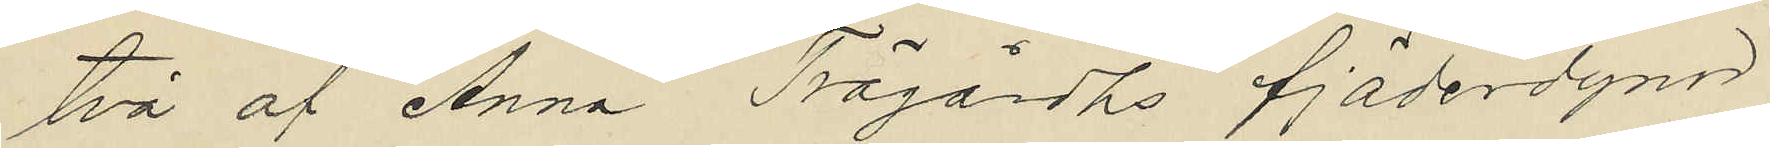två af Anna Trägårdhs fjäderdynor
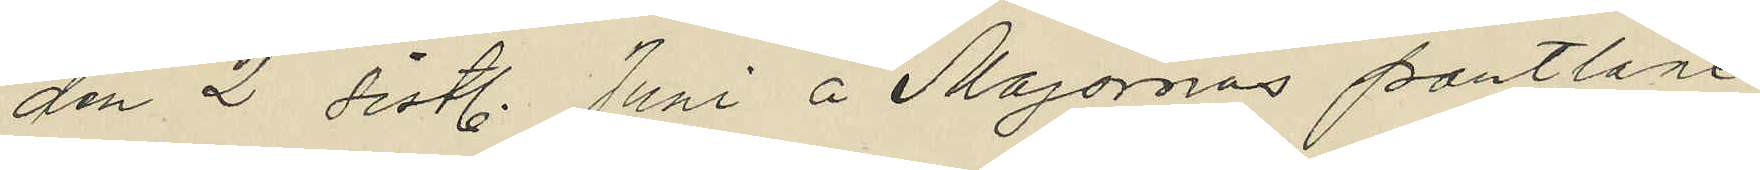den 2 sist. Juni å Majornas pantlåne
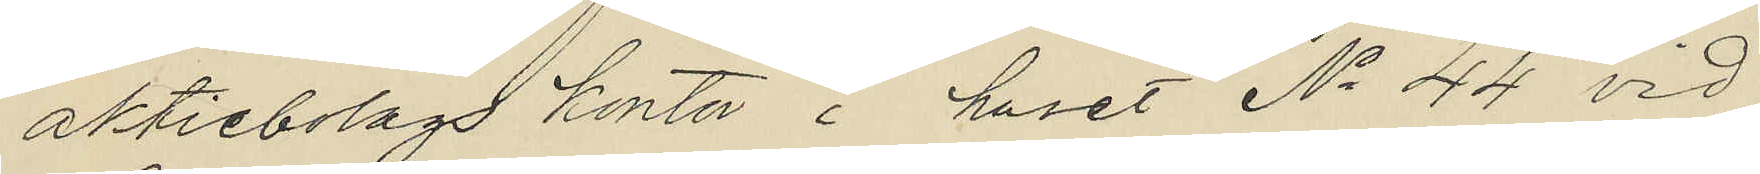aktiebolags kontor i huset No 44 vid
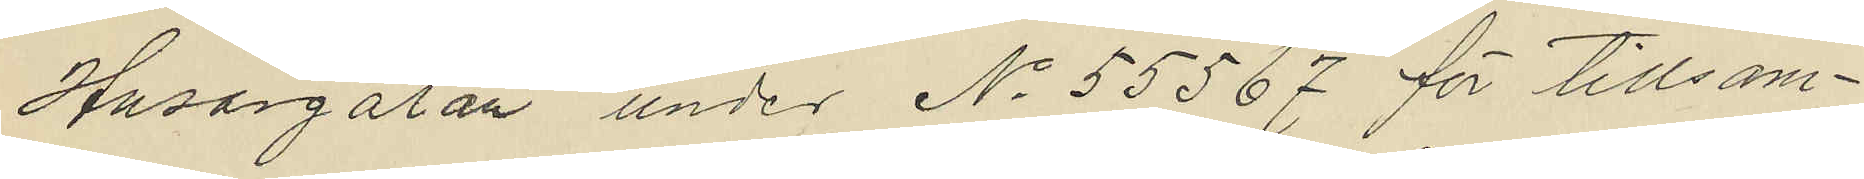Husargatan under No 55567 för tillsam¬
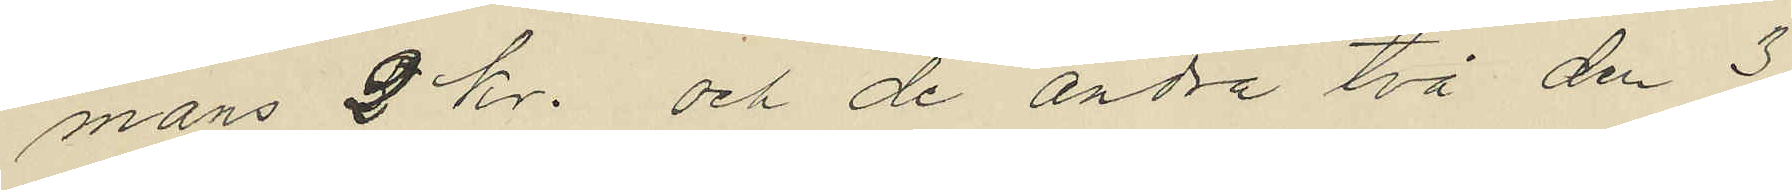mans 2 kr. och de andra två den 3
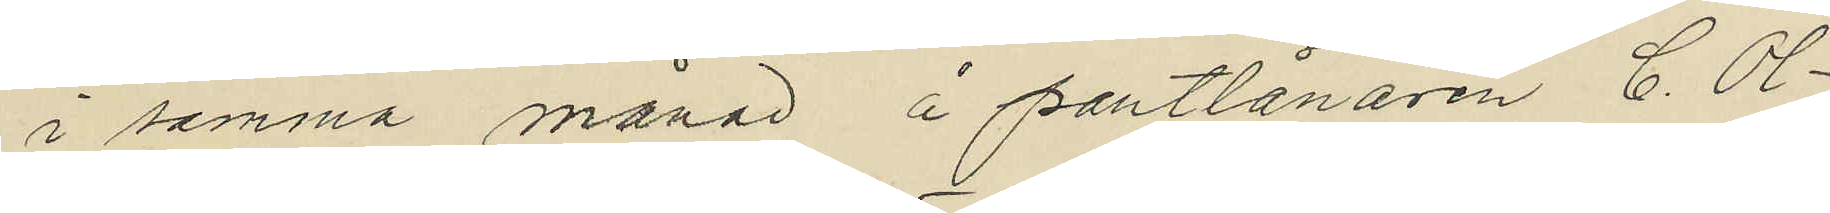i samma månad å pantlånaren C. Ol¬
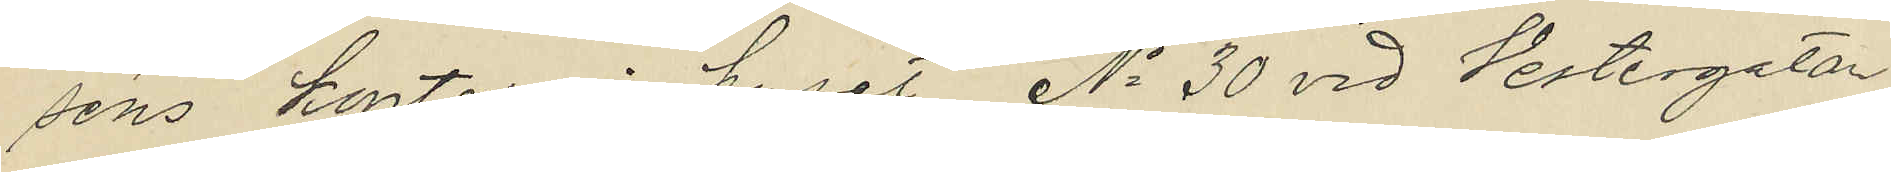séns kontor i huset No 30 vid Vestergatan
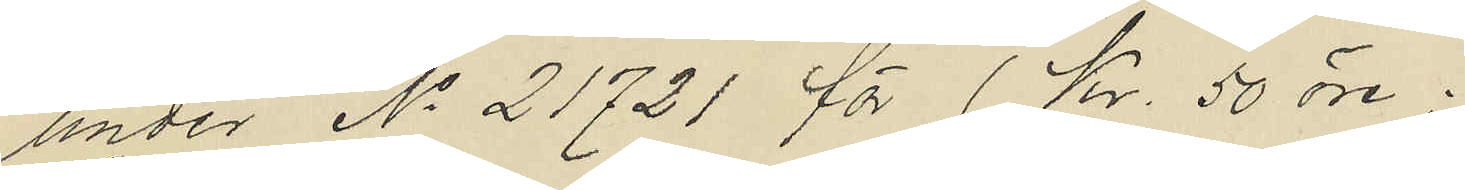under No 21721 för 1 Kr. 50 öre.
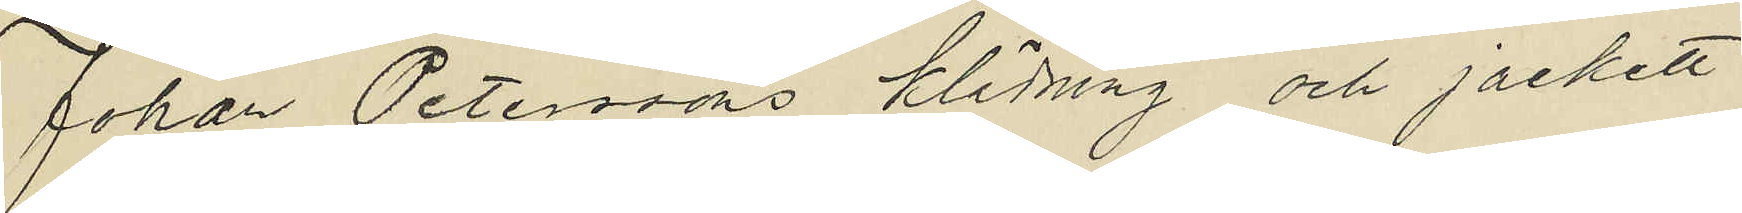Johan Petersons klädning och jackett
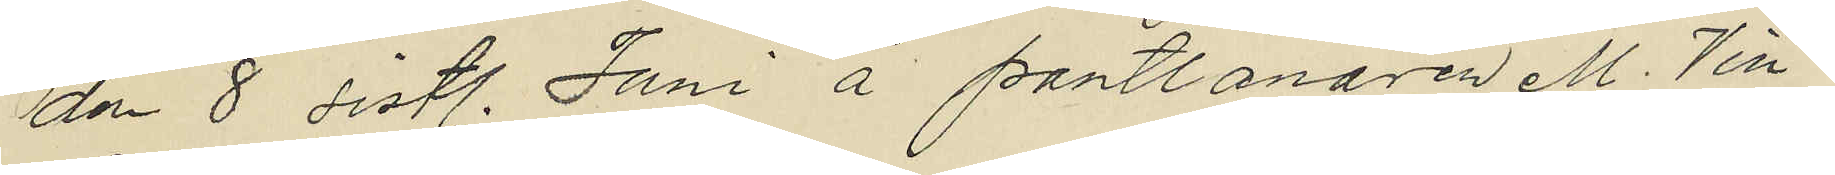den 8 sistl. Juni å pantlånaren M. Vin¬
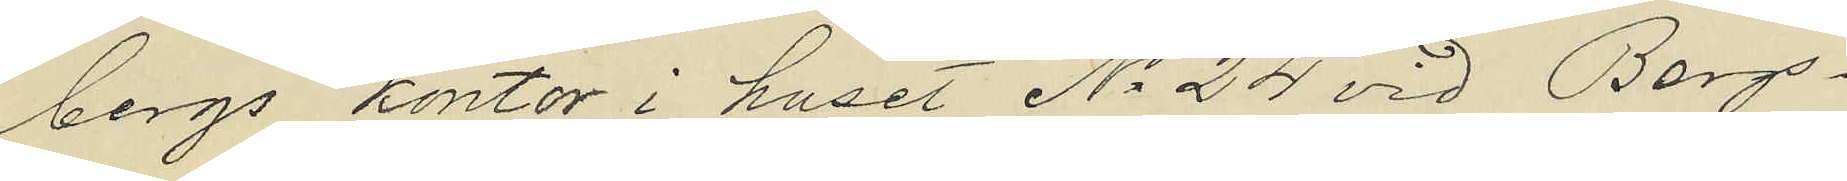bergs kontor i huset No 24 vid Bergs¬
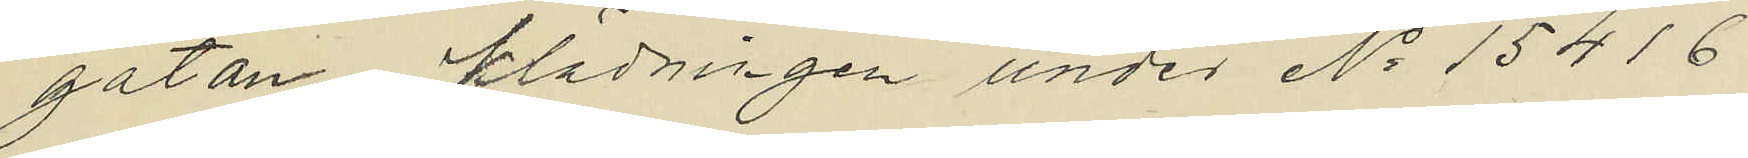gatan klädningen under No 15416
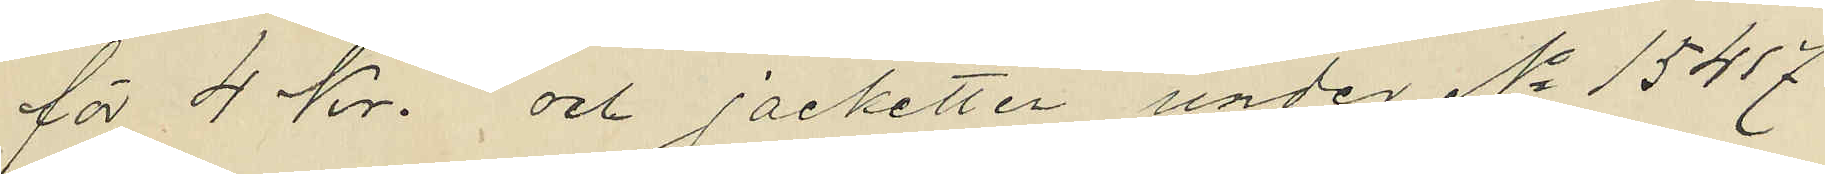för 4 Kr. och jacketten under No 15417
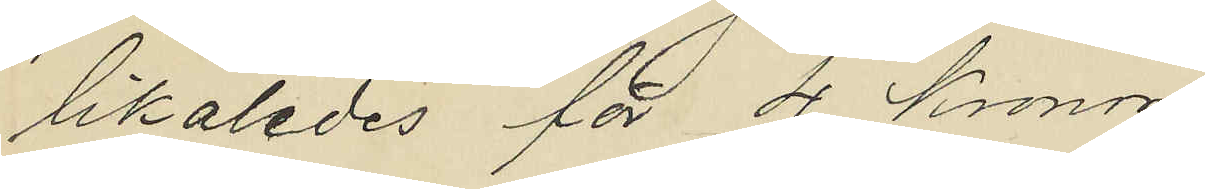likaledes för 4 Kronor;
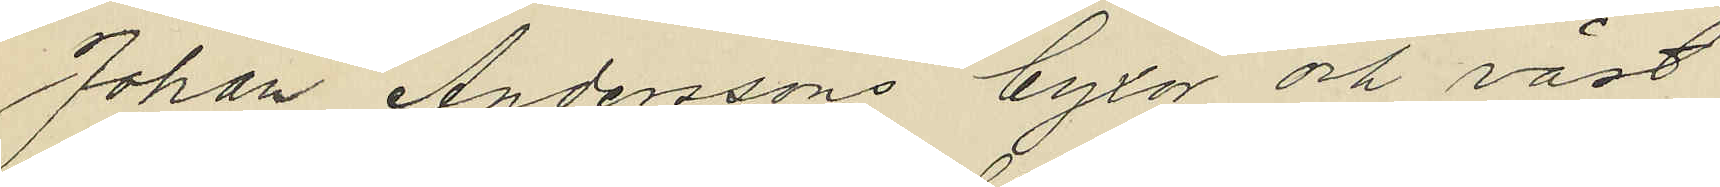Johan Anderssons byxor och väst
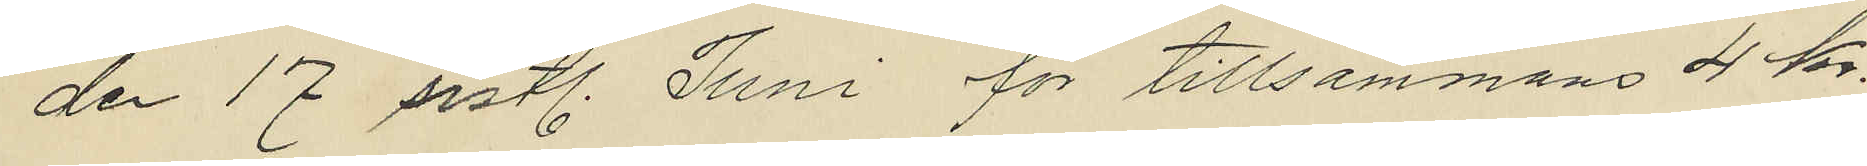den 17 sistl. Juni för tillsammans 4 kr.
